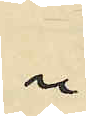"
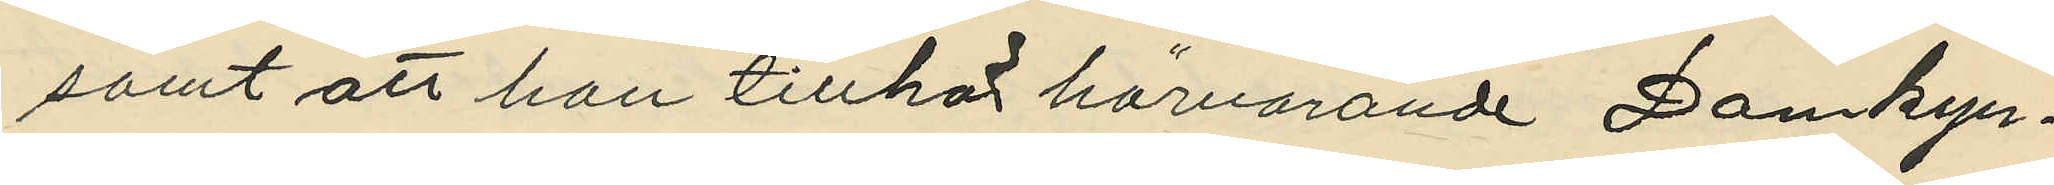samt att han tillhör härvarande Domkyr¬
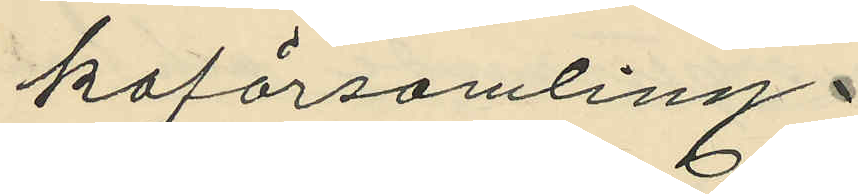koförsamling.
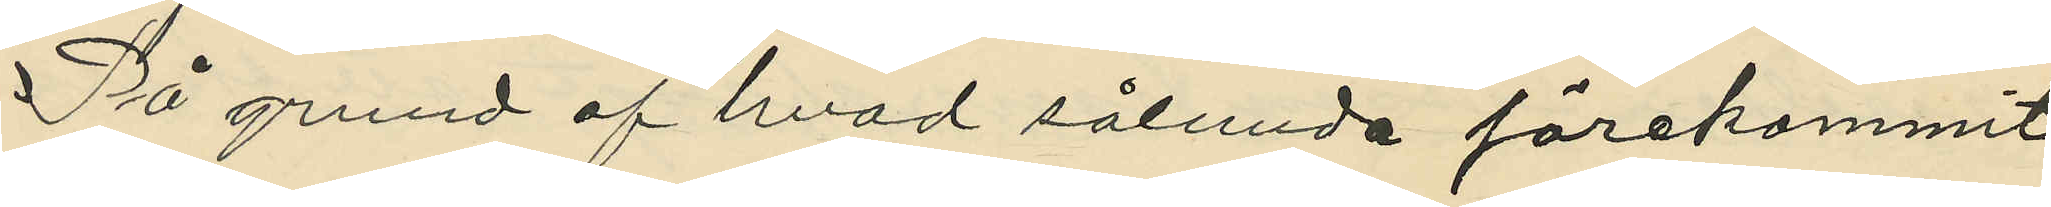På grund af hvad sålunda förekommit
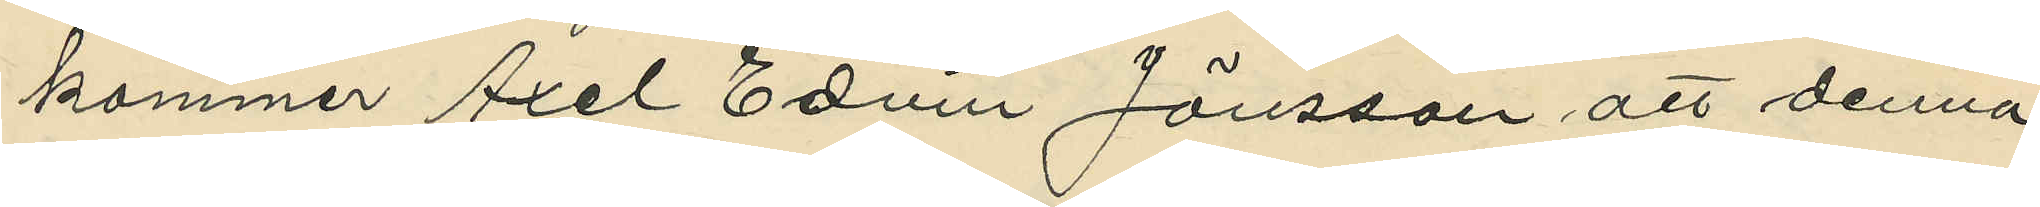kommer Axel Edvin Jönsson att denna
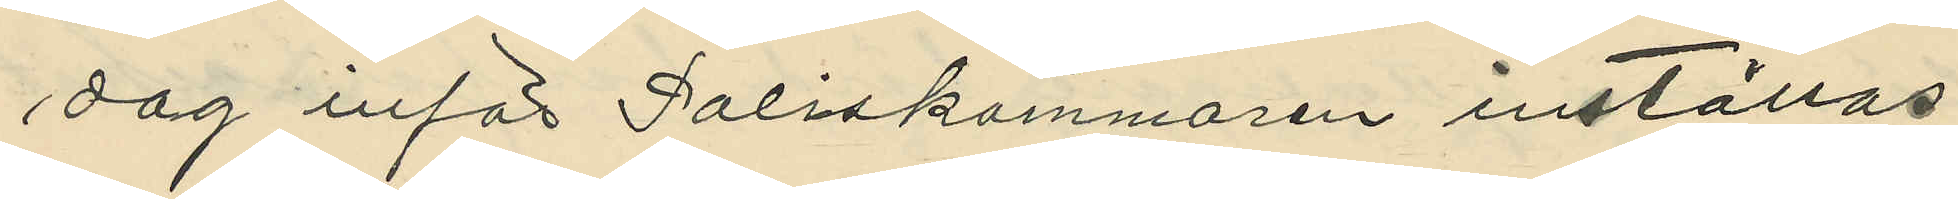dag inför Poliskammaren inställas
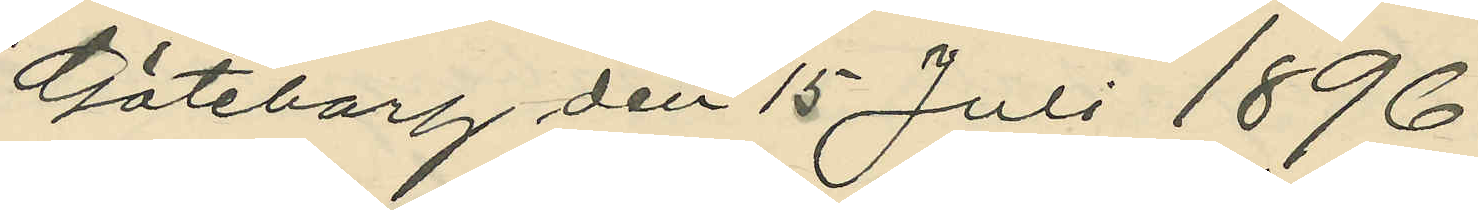Göteborg den 15 Juli 1896.
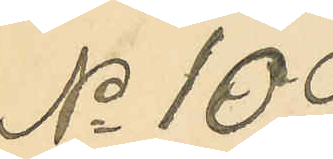No 109.
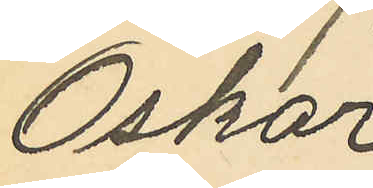Oskar
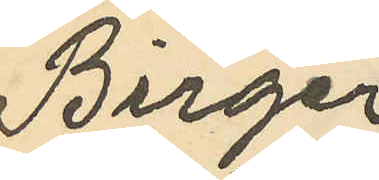Birger
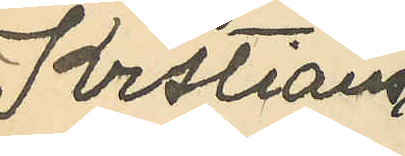Krstians
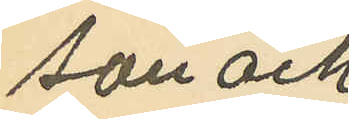son och
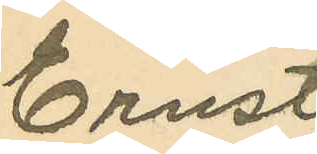Ernst
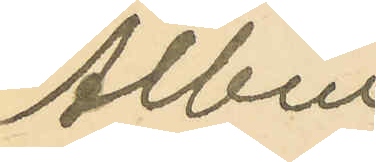Albin
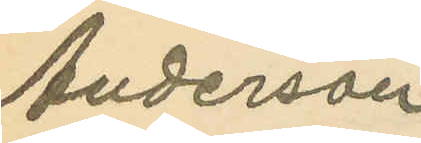Anderson
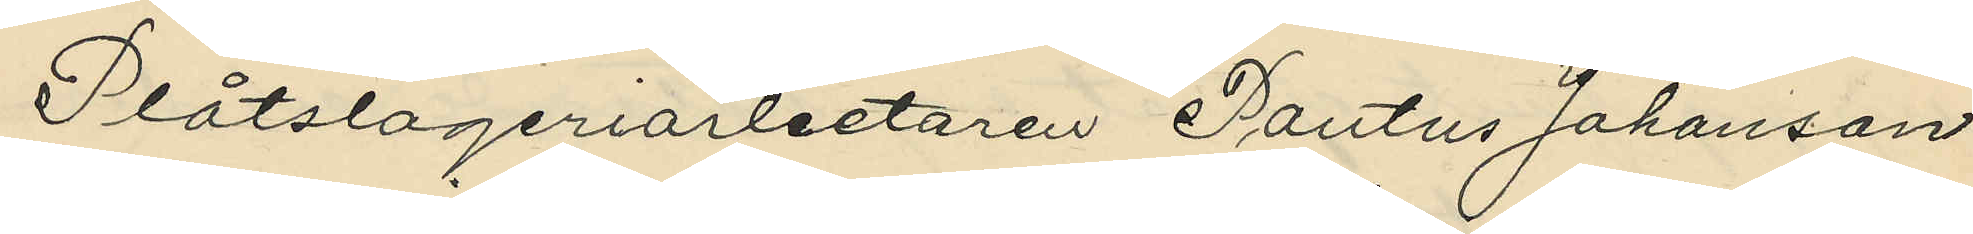Plåtslageriarbetaren Pontus Johansson
